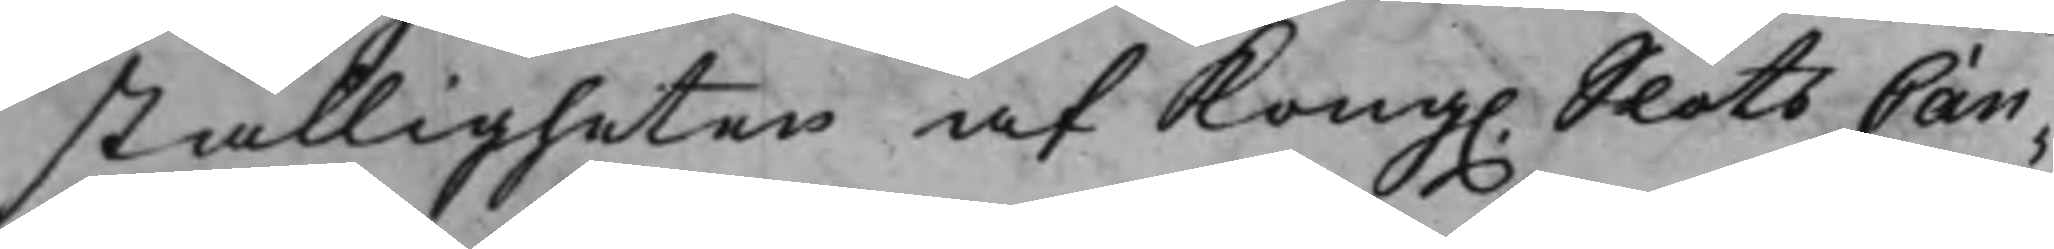ställigheten af Kong. SlotsCan¬
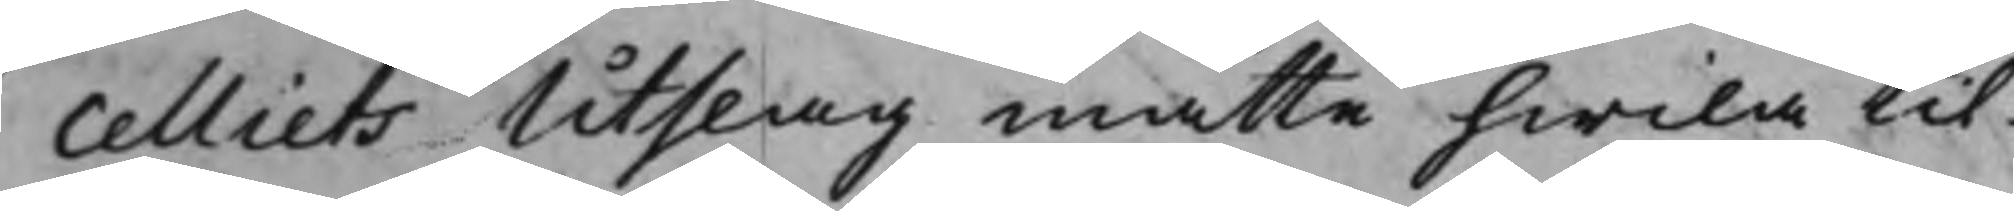celliets Utslag måtte hwila til
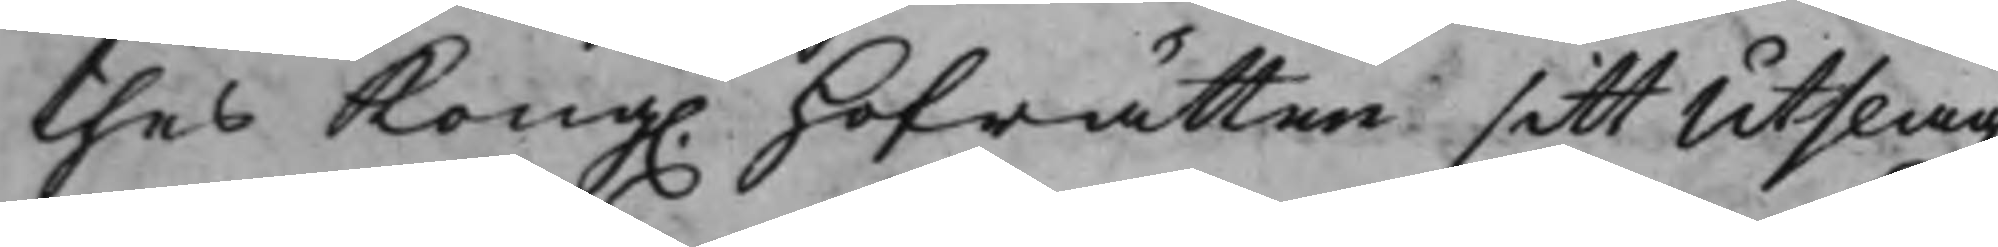thes Kong. Hofrätten sitt Utslag
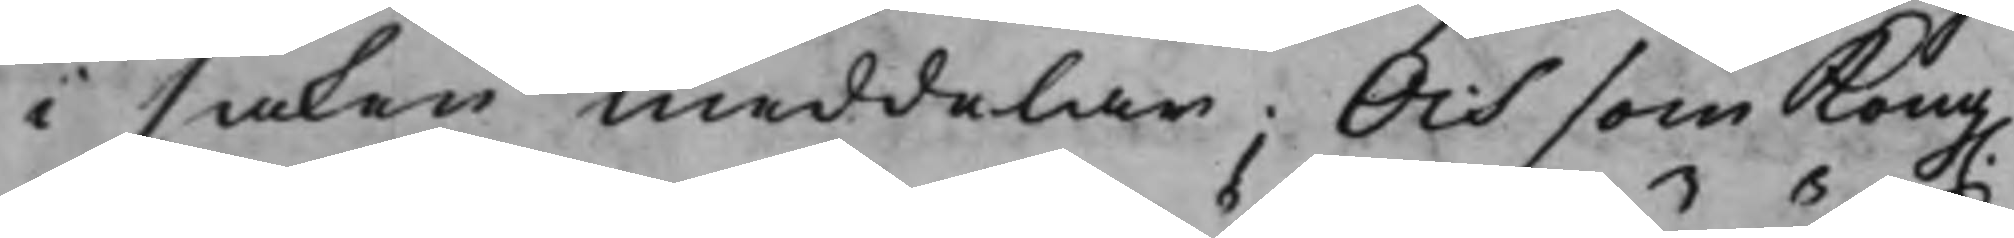i saken meddelar; Och som Kong.
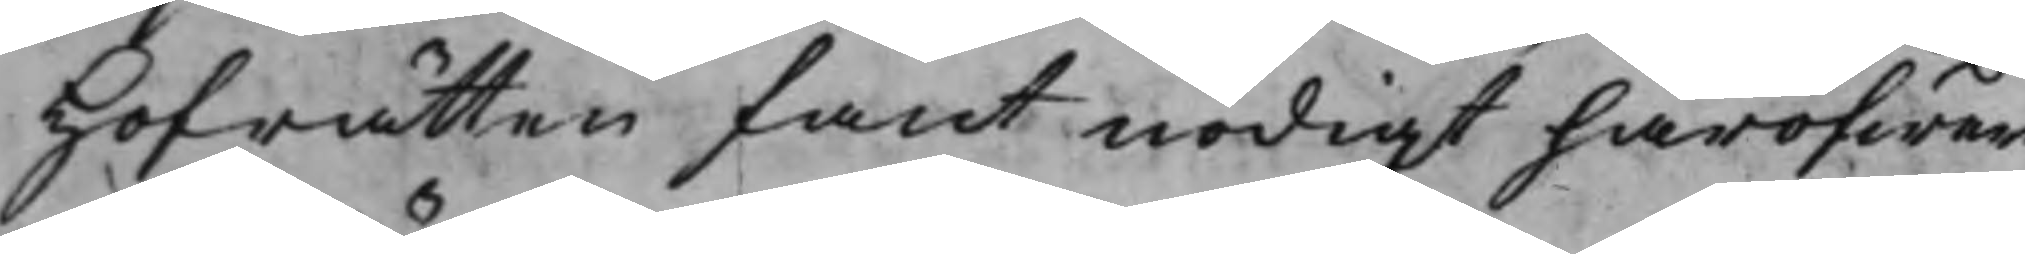Hofrätten fant nödigt häröfwer
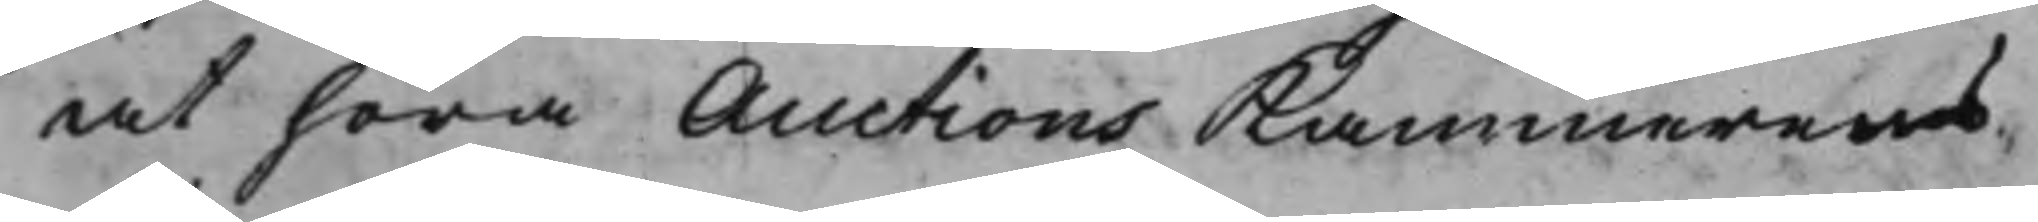at höra Auctions Kammerens
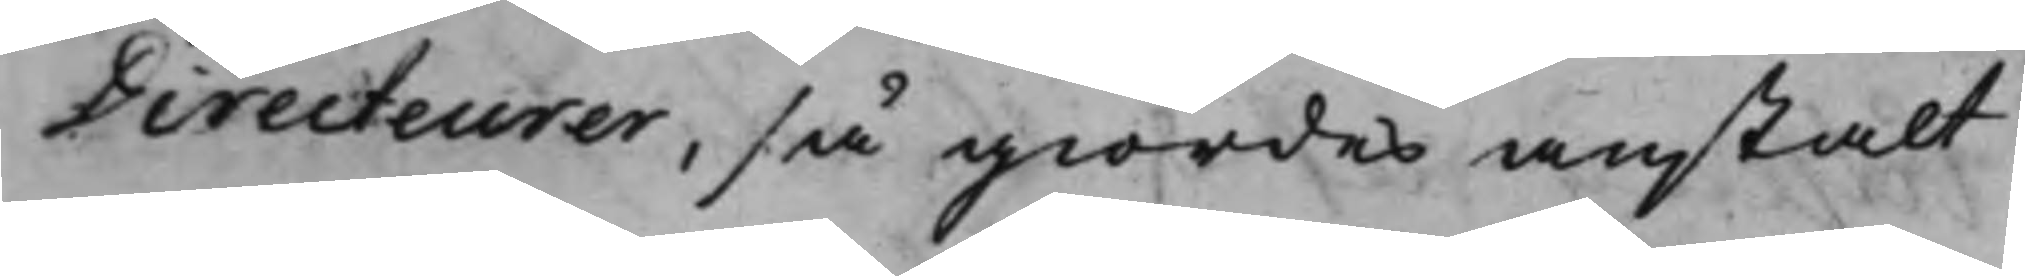Directeurer, så giordes anstalt
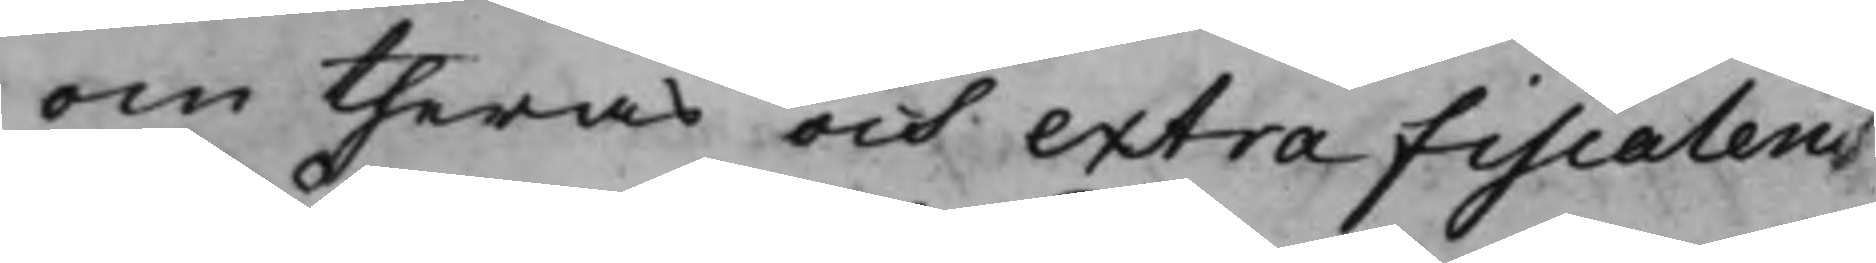om theras och extra fiscalens
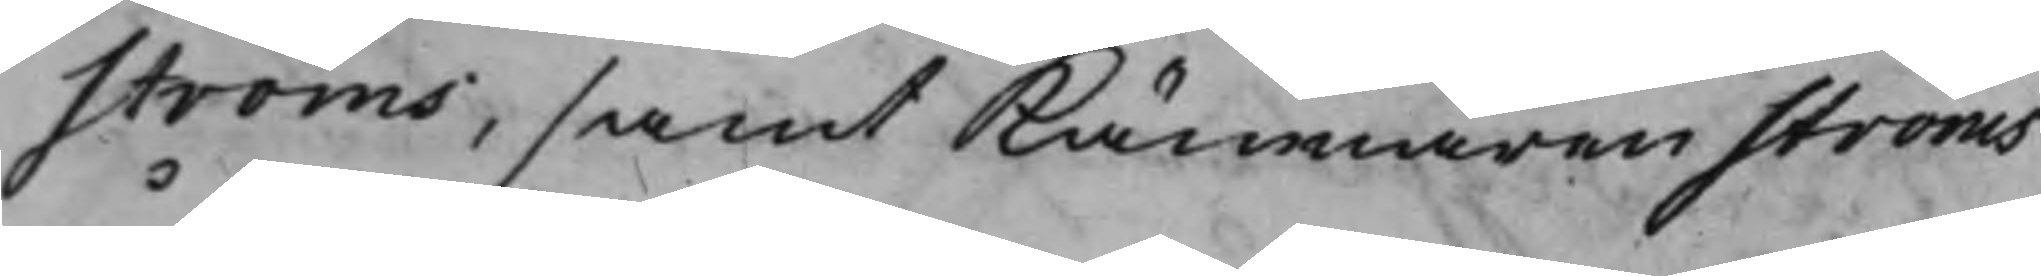Ströms, samt Kämnaren Ströms
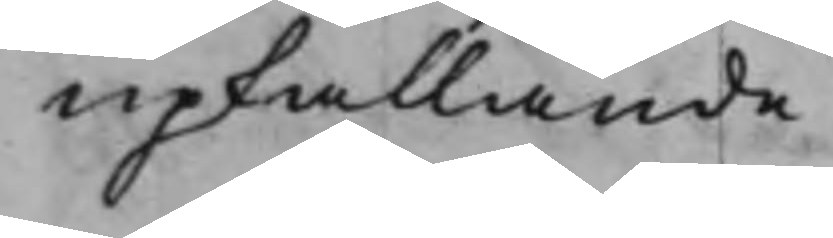upkallande.
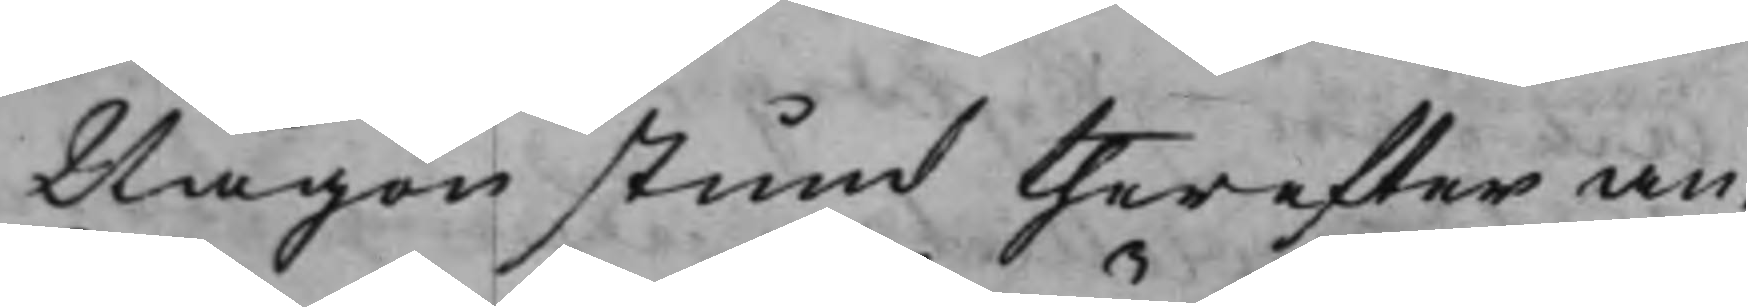Någon stund therefter an¬
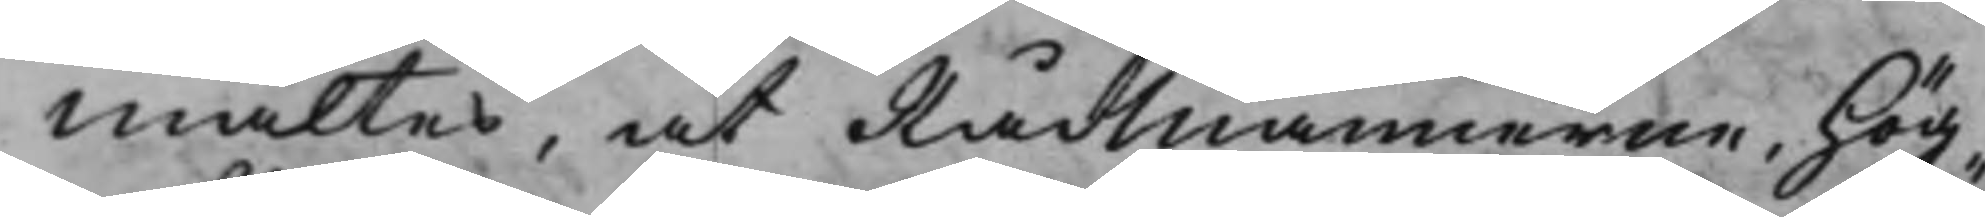mältes, at RådMännerne, Hög¬
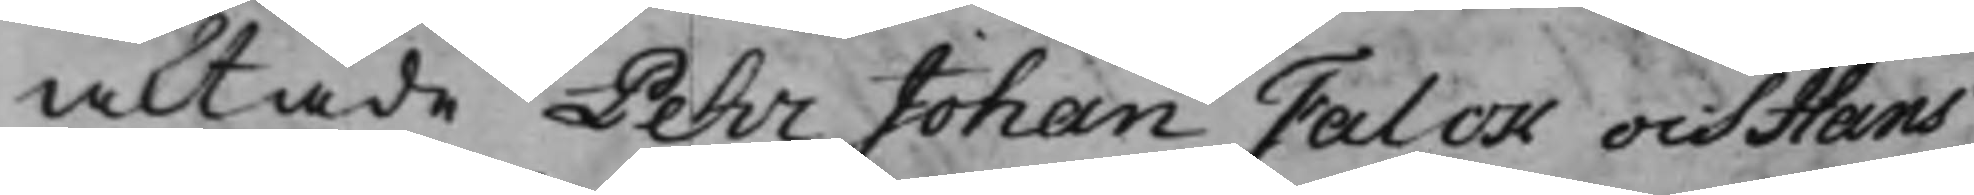aktade Pehr Johan Falck och Hans
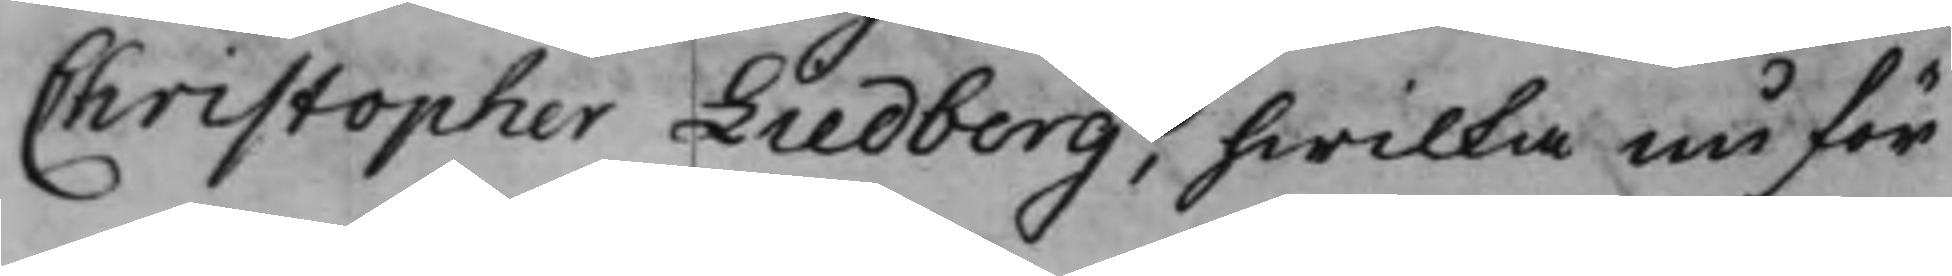Christopher Liedberg, hwilka nu för
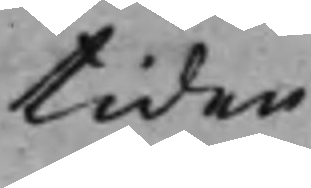tiden
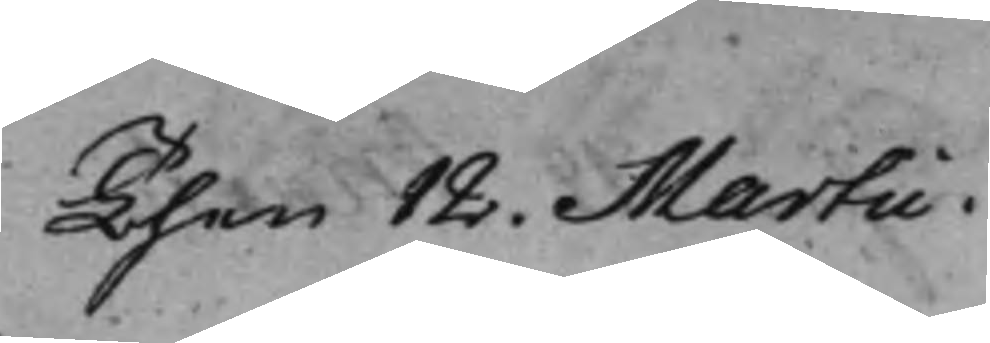Then 12. Martii.
